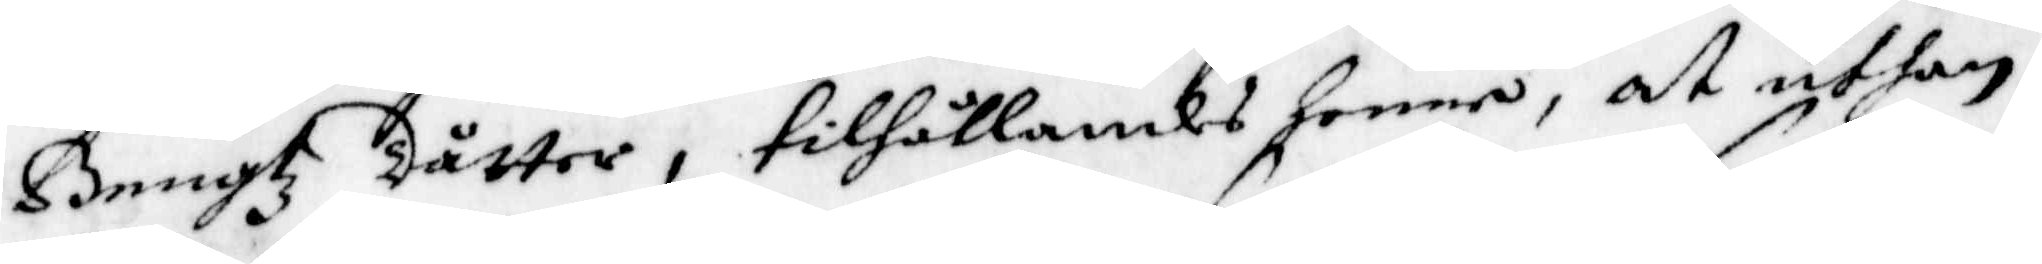Bengtz dåtter, tilhållandes henne, at uthan
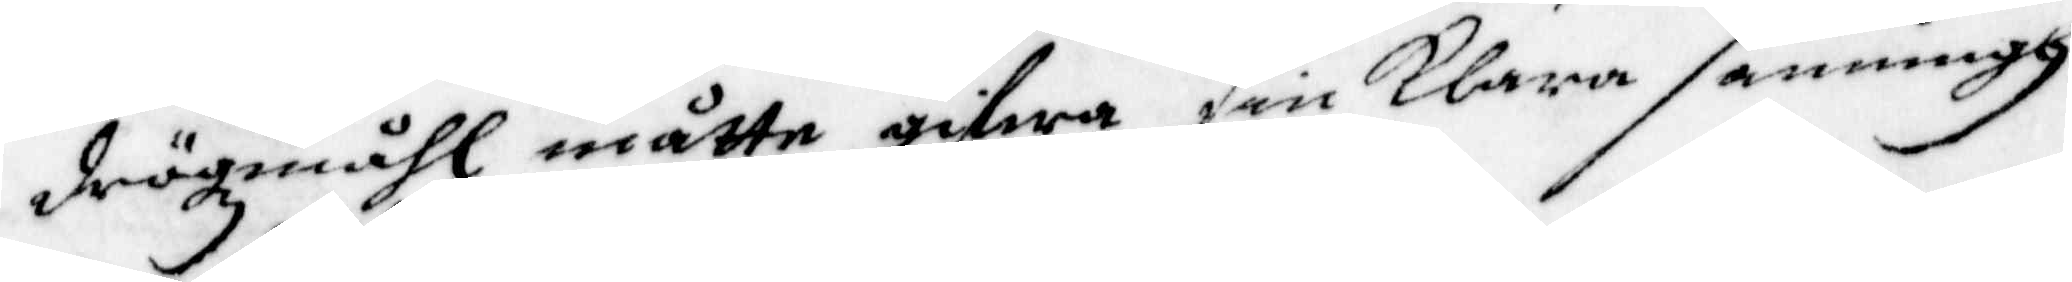drögzmåhl måtte gifwa sin klara sanningh
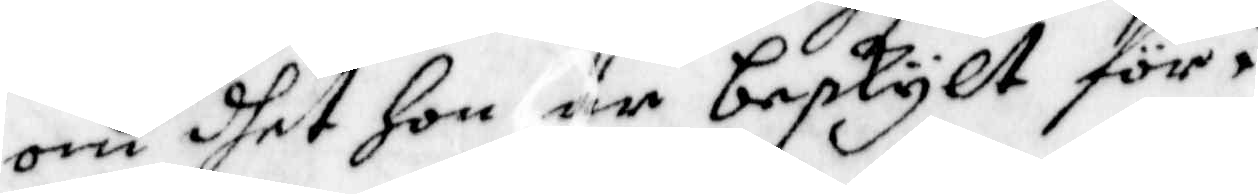om dhet hon är beskylt för.
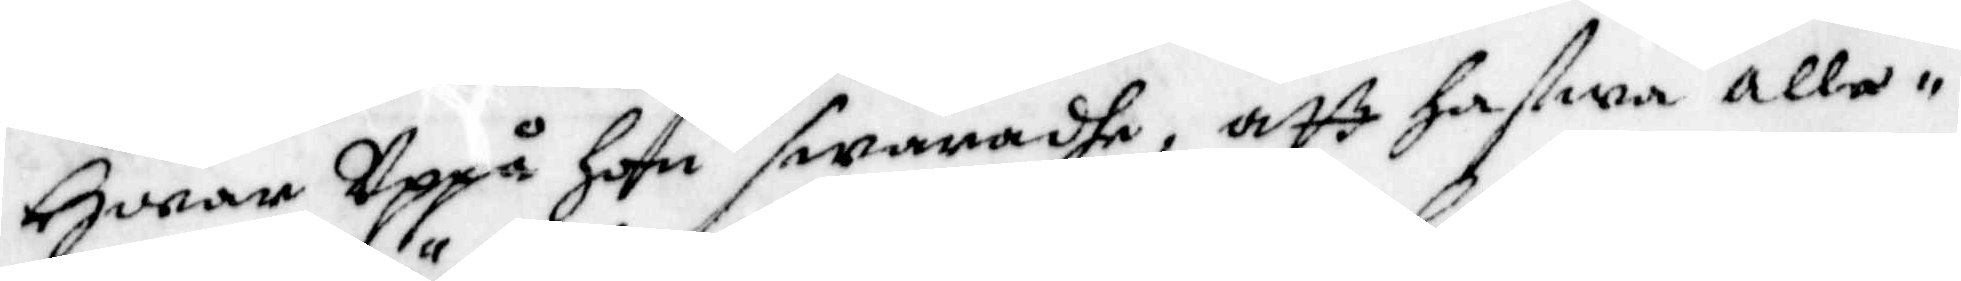Hwar Uppå Hon swaradhe, att hafwa alle¬
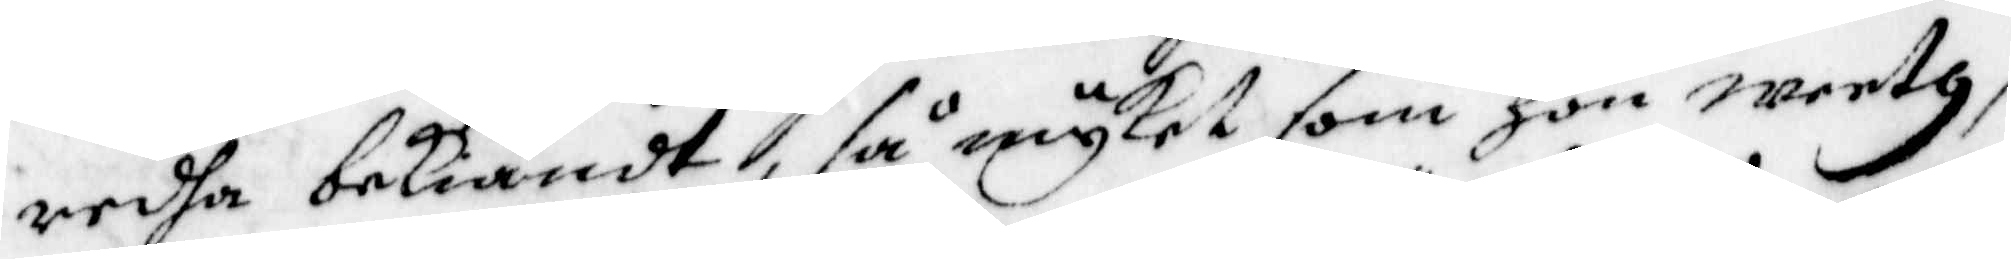redha bekiändt, så mycket som hon weeth,
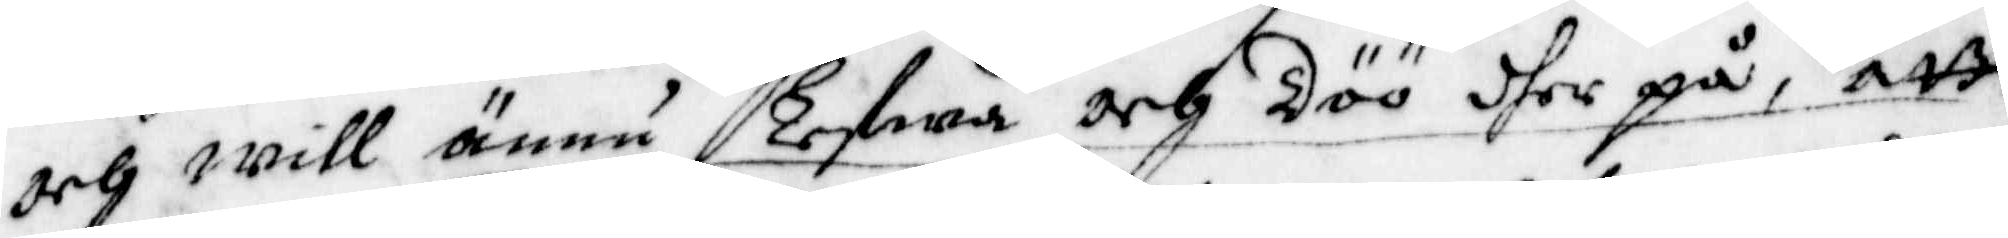och will ännu Lefwa och Döö dher på, att
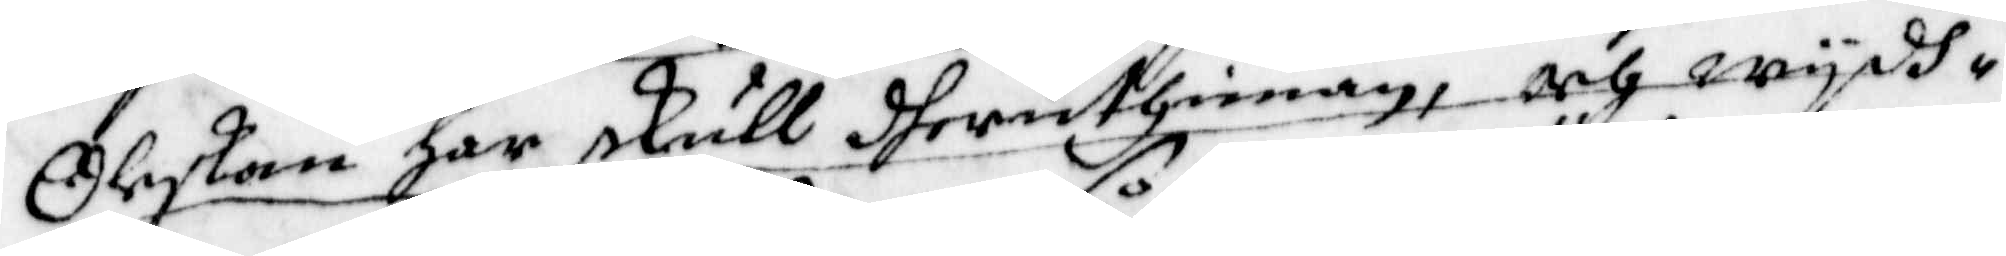Oleskan har skull dheruthinnan, och wydh¬
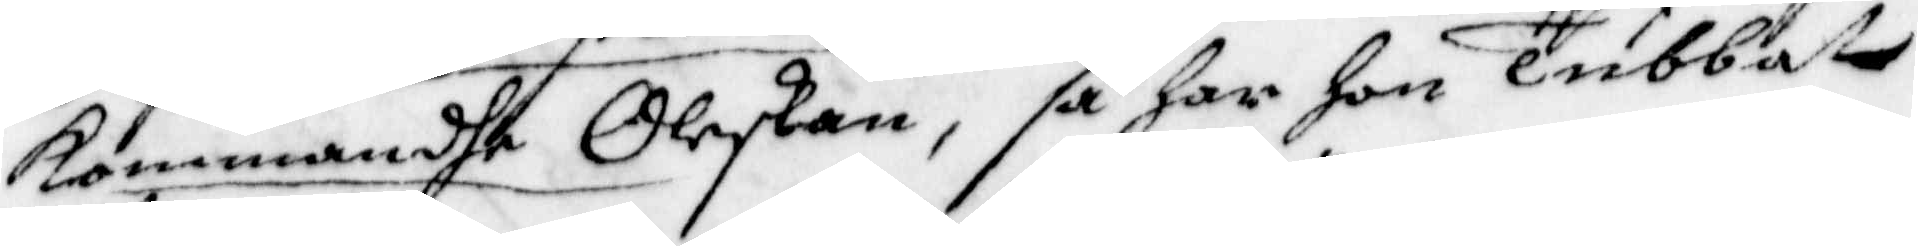kommande Oleskan, så har hon Tubbat
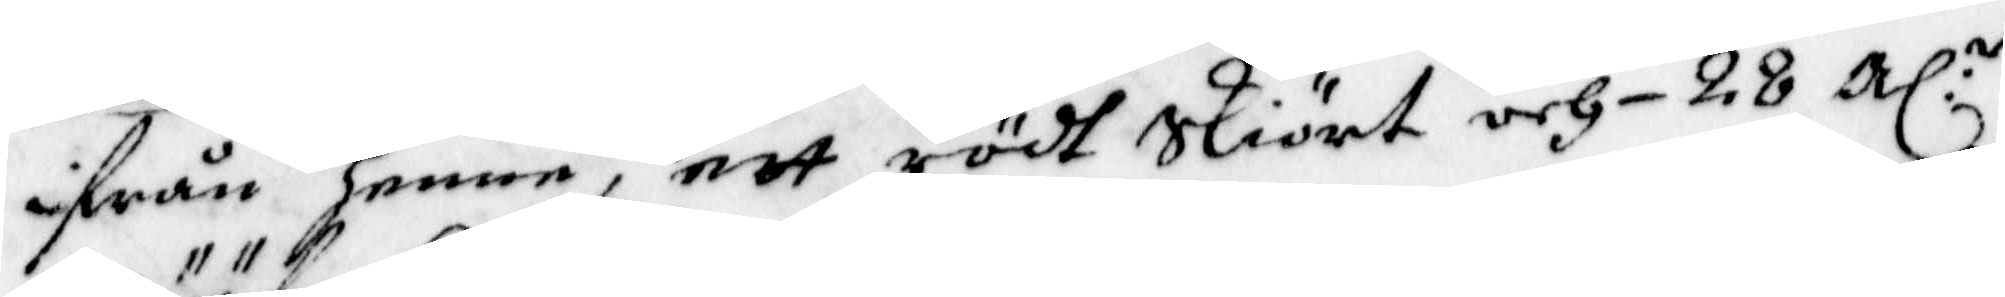ifrån Henne, ett rödt Skiört och 28 Al:r
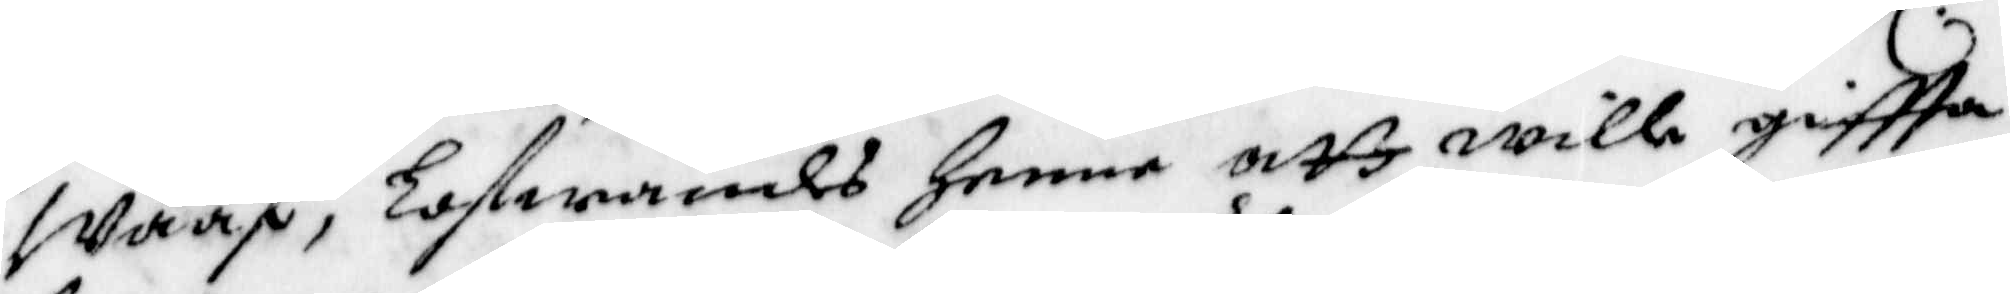Wääf, Lofwandes henne att wille giftta
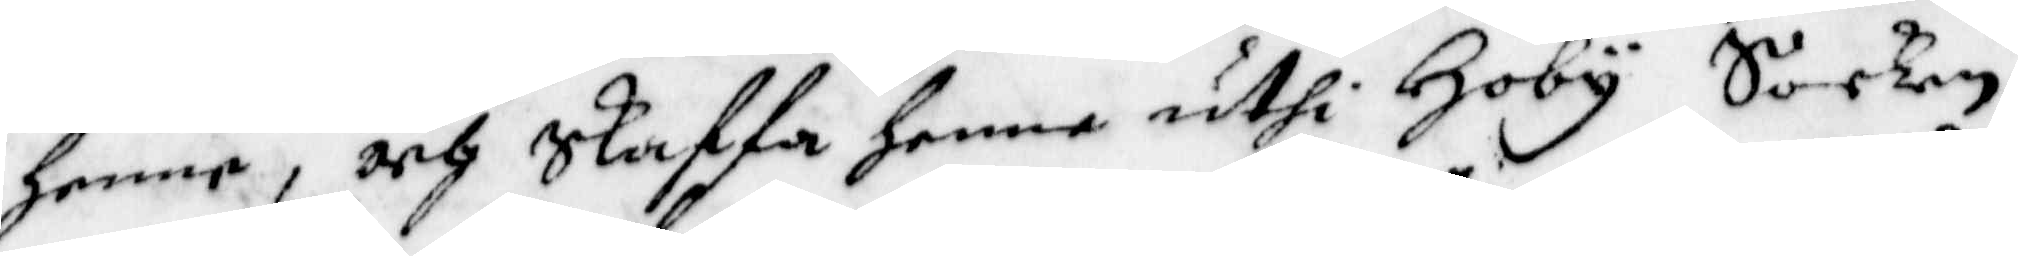henne, och Skaffa henne uthi Hoby Socken
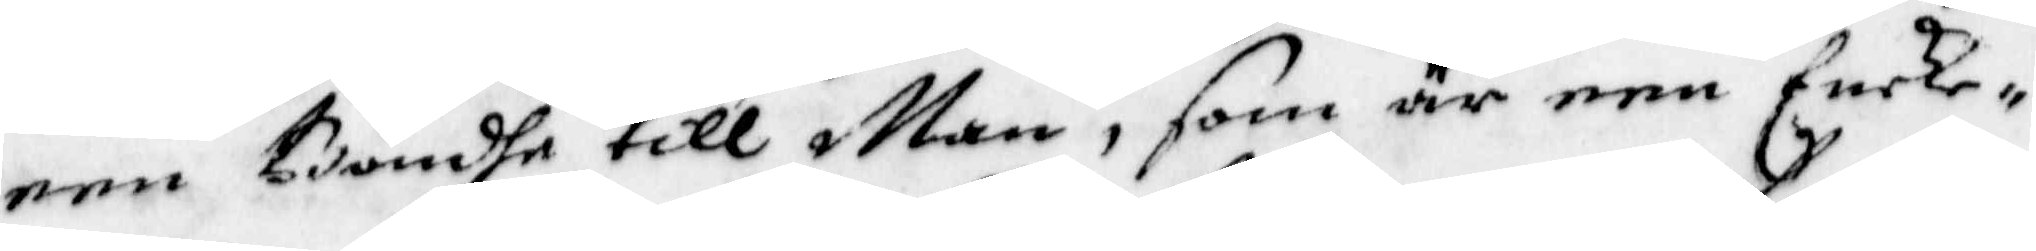een Bondhe till Man, som är een Encke¬
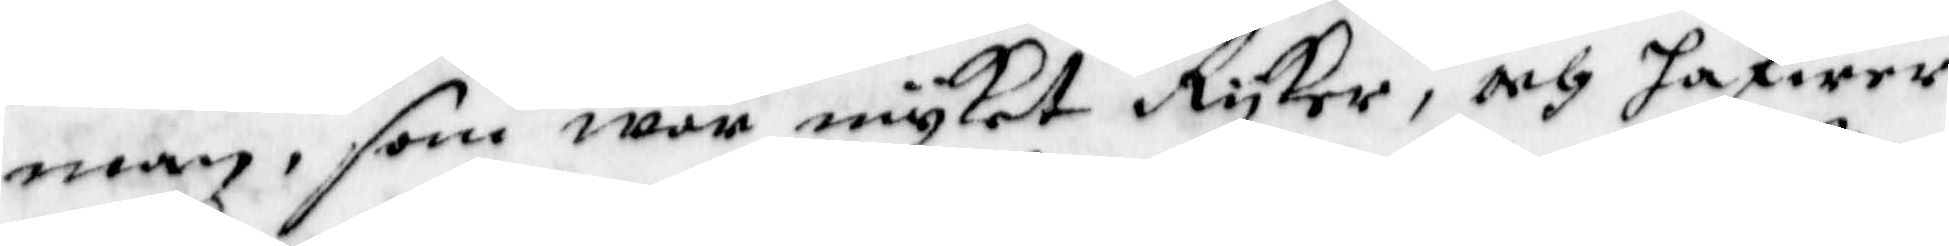man, som war myket Ryker, och hafwer
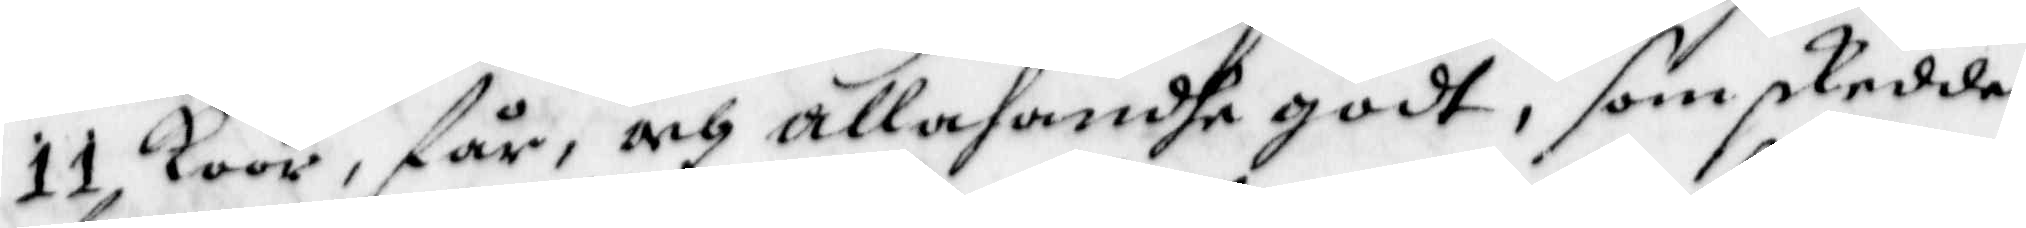11 koor, får, och allahandhe godt, som skedde
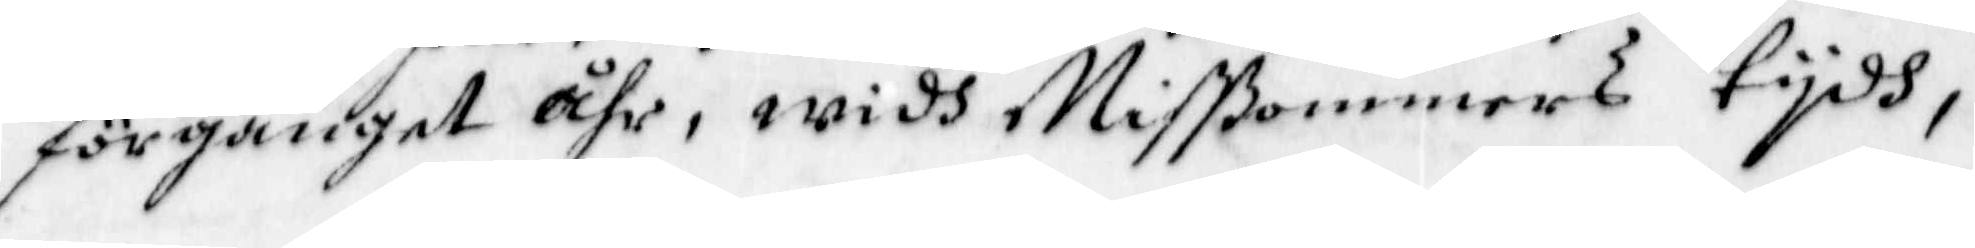förganget Åhr, widh Mißommers tydh,
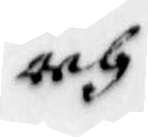och
